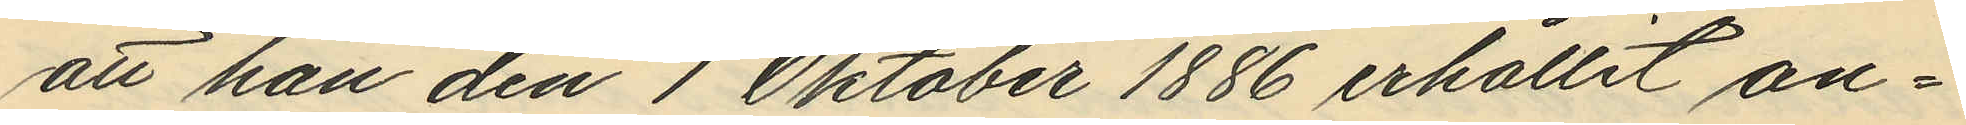att han den 1 Oktober 1886 erhållit an¬
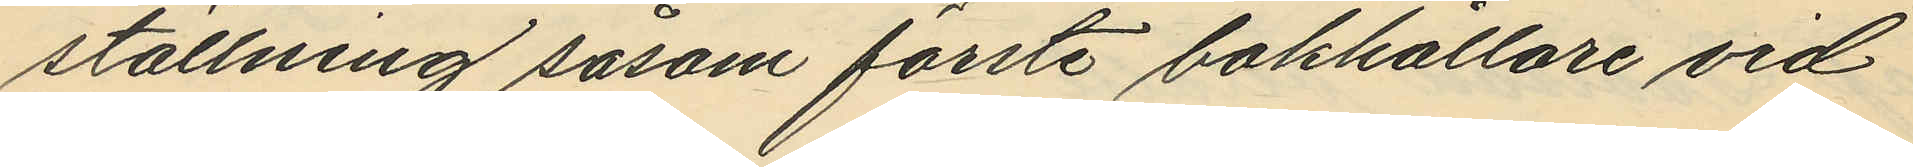ställning såsom förste bokhållare vid
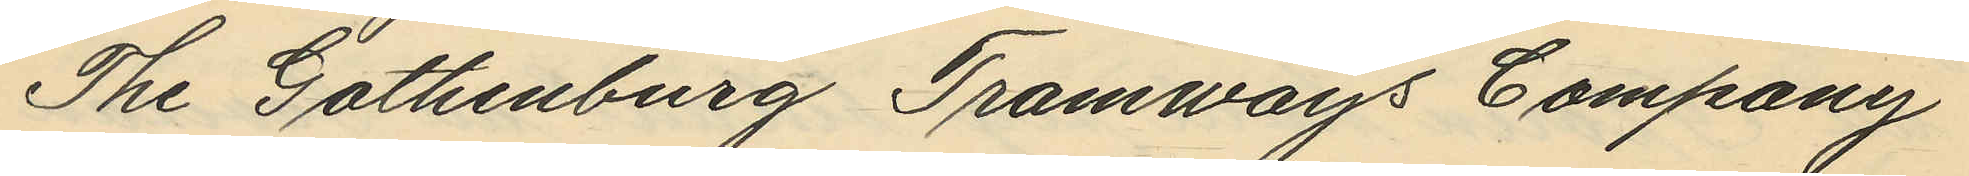The Gothenburg Tramways Company
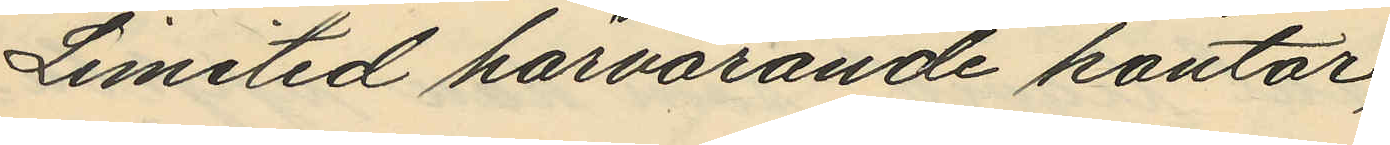Limited härvarande kontor;
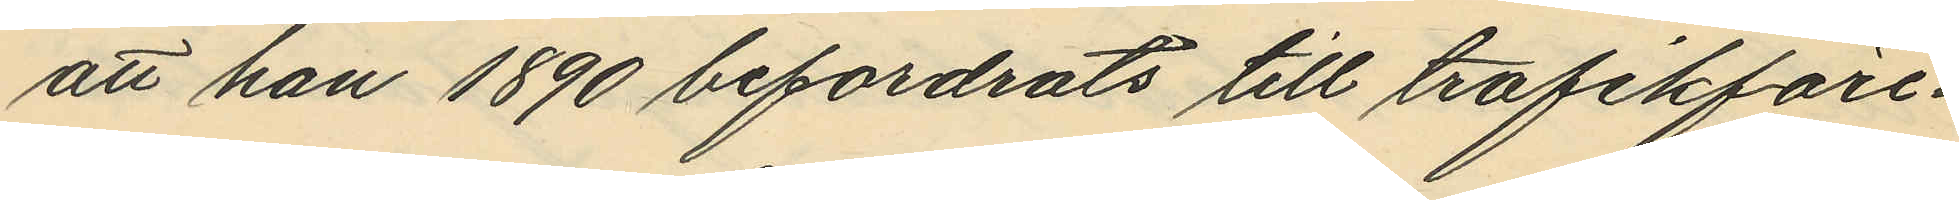att han 1890 befordrats till trafikföre¬
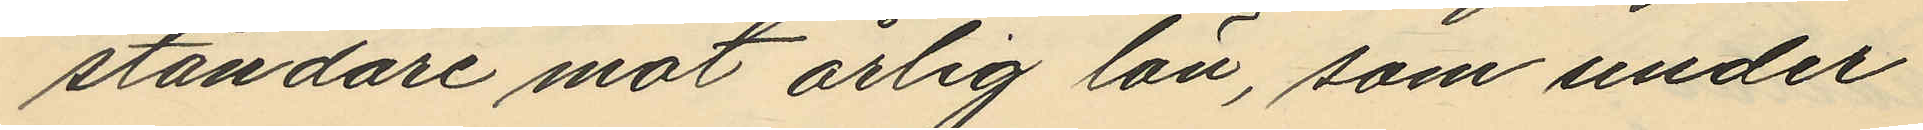ståndare mot årlig lön, som under
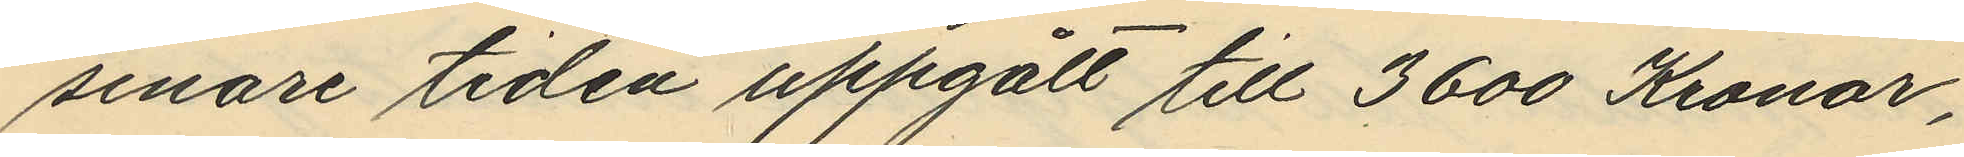senare tiden uppgått till 3600 Kronor,
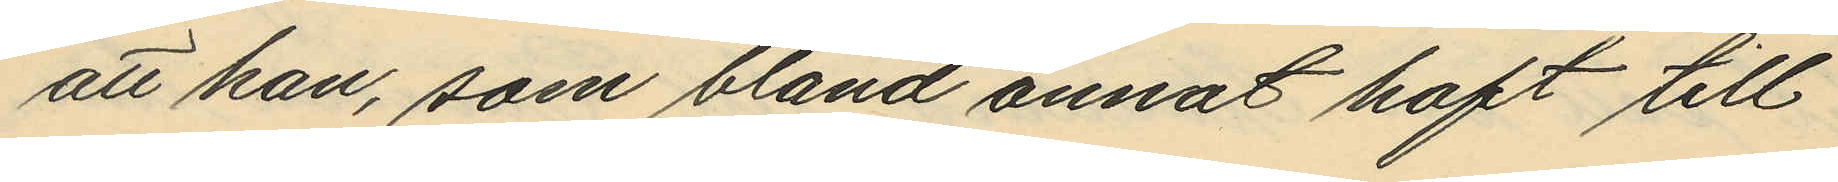att han, som bland annat haft till
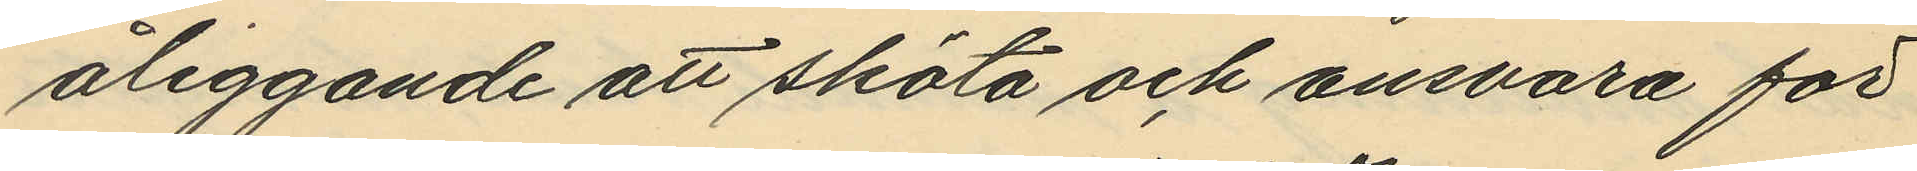åliggande att sköta och ansvara för
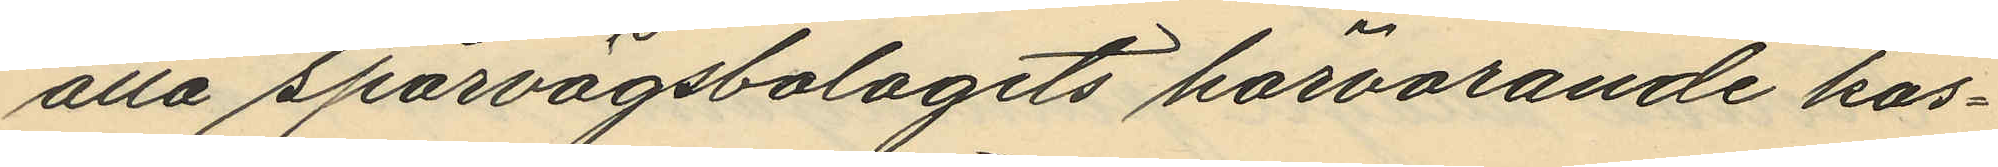alla spårvägsbolagets härvarande kas¬
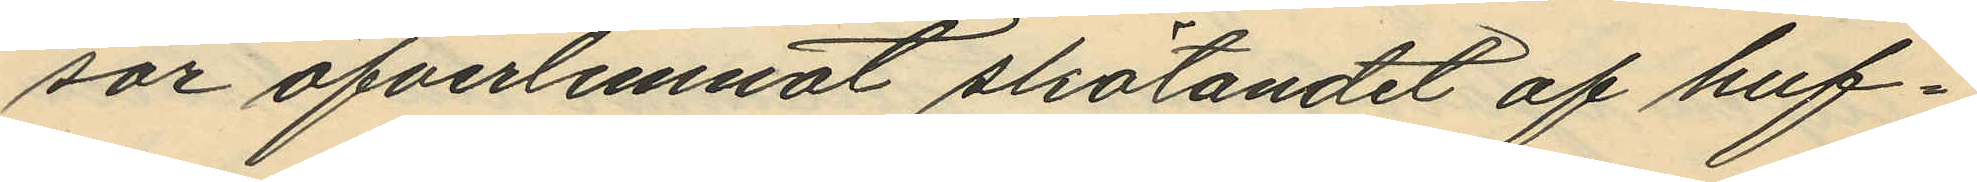sor öfverlemnat skötandet af huf¬
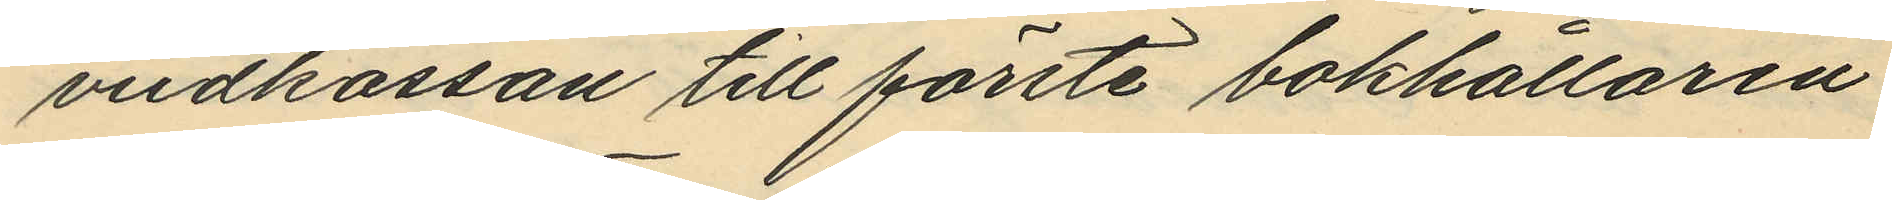vidkassan till förste bokhållaren
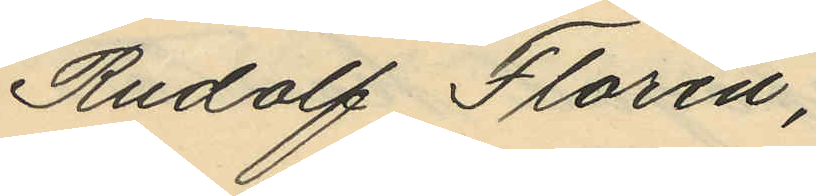Rudolf Florén;
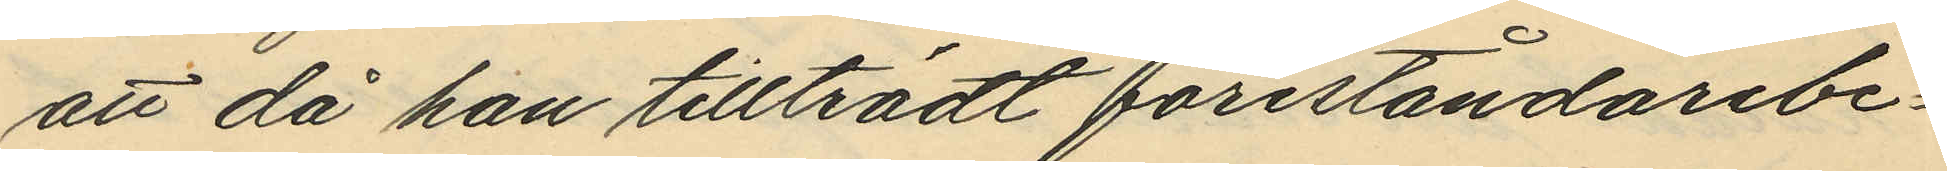att då han tillträdt föreståndarebe¬
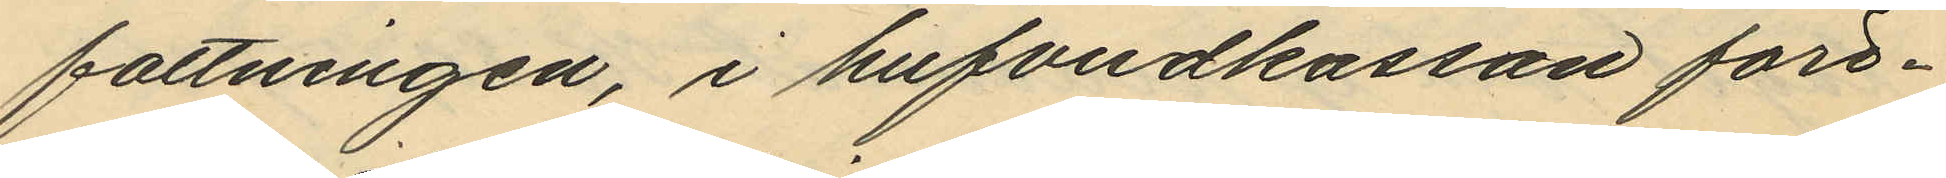fattningen, i hufvudkassan före¬
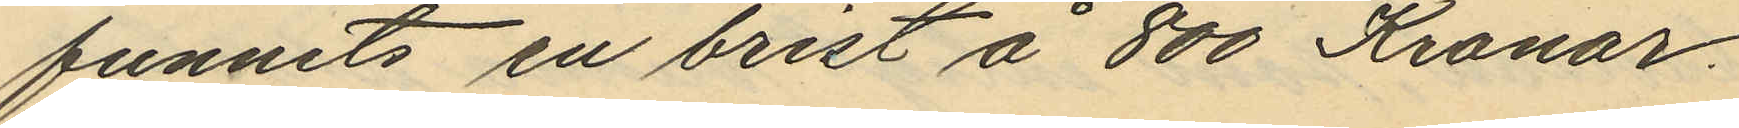funnits en brist å 800 Kronor,
